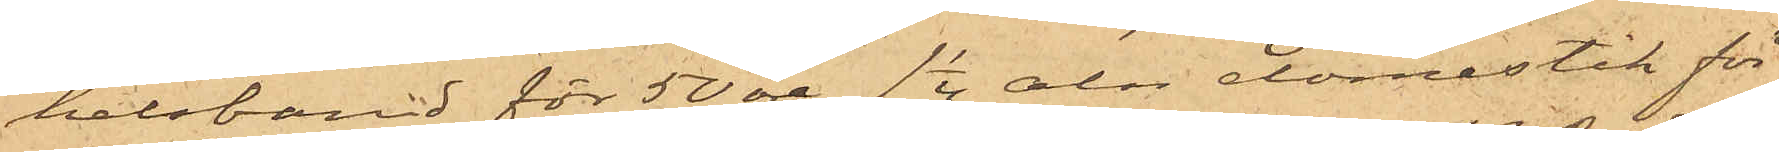halsband för 50 öre, 1 1/4 aln domestik för
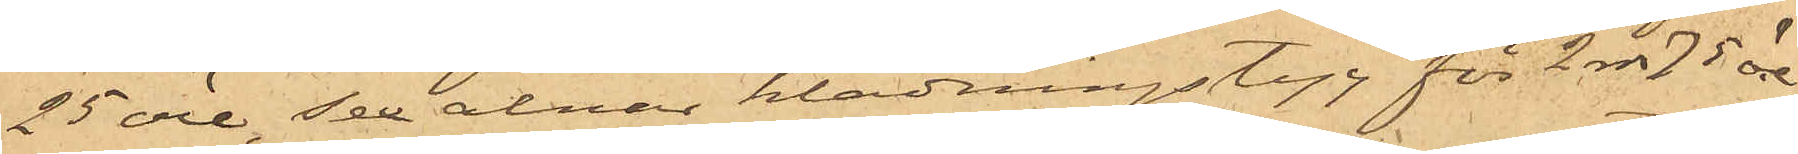25 öre, Sex alnar klädningstyg för 2 rdr 75 öre,
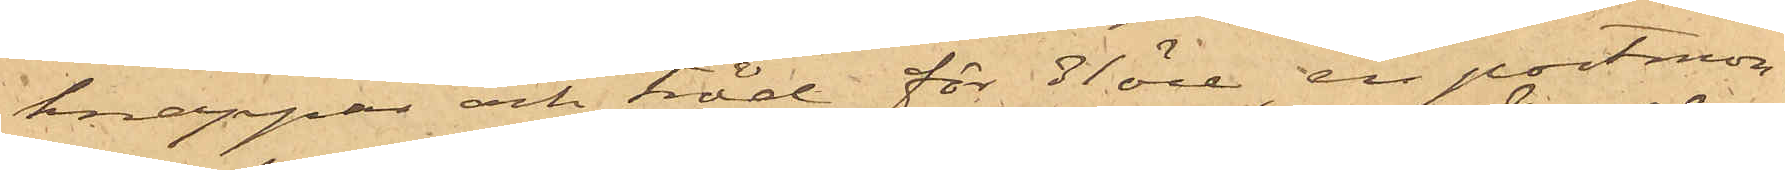knappar och tråd för 31 öre, en portmon¬
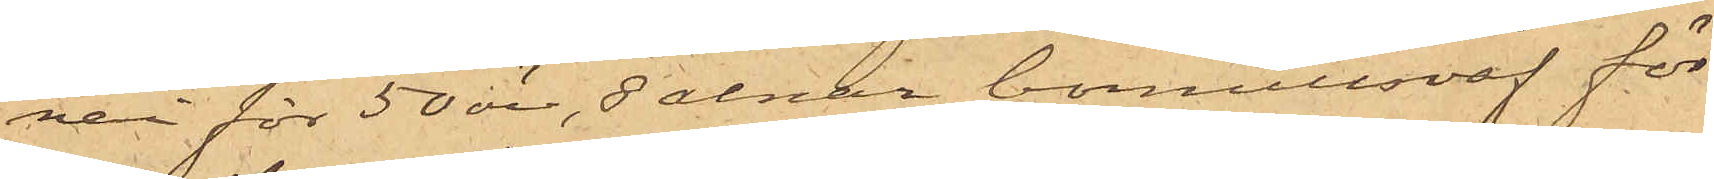nai för 50 öre, 8 alnar bomullsväf för
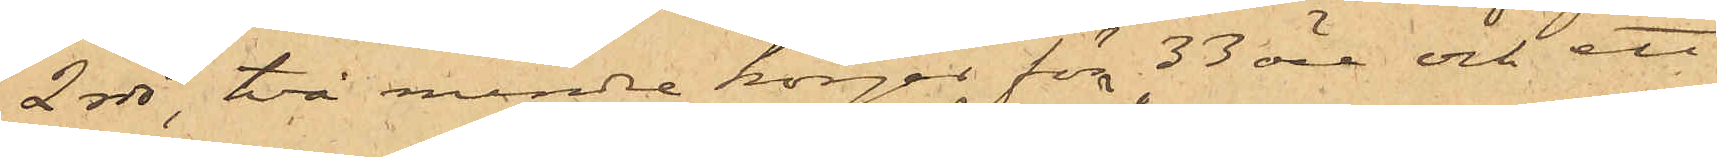2 rdr, två mindre korgar för 33 öre och ett
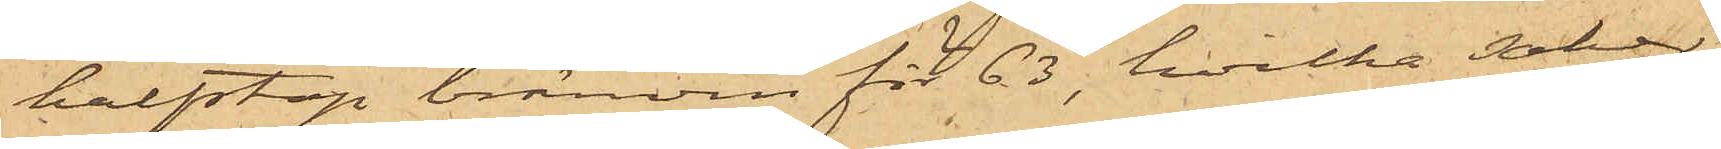halfstop bränvin för 63 öre, hvilka saker
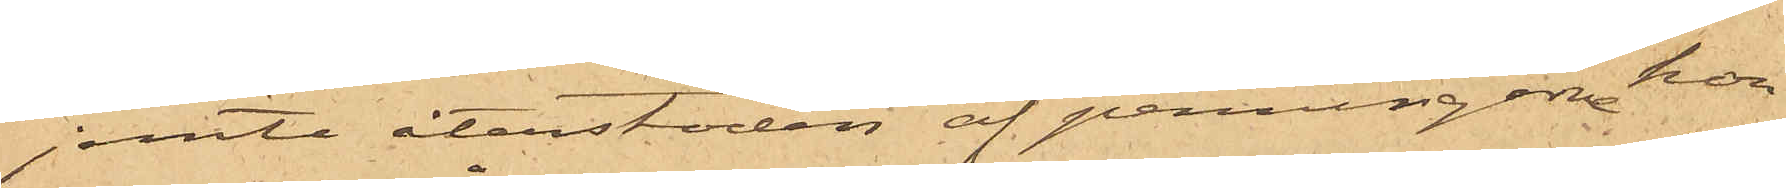jemte återstoden af penningarne hon
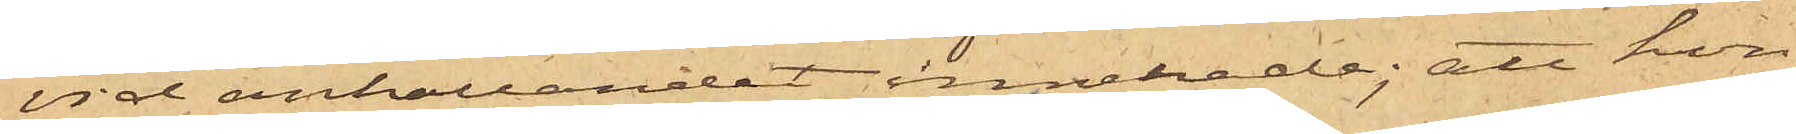vid anhållandet innehade; att hon
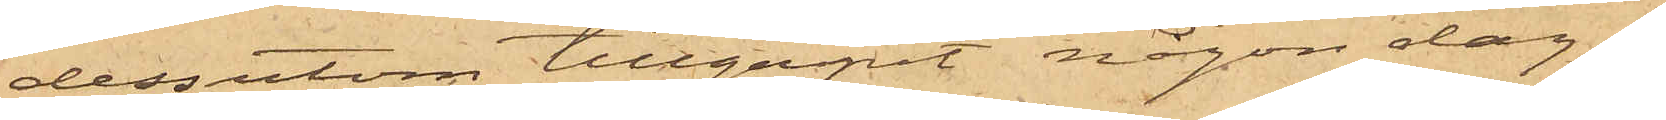dessutom tillgripit någon dag i
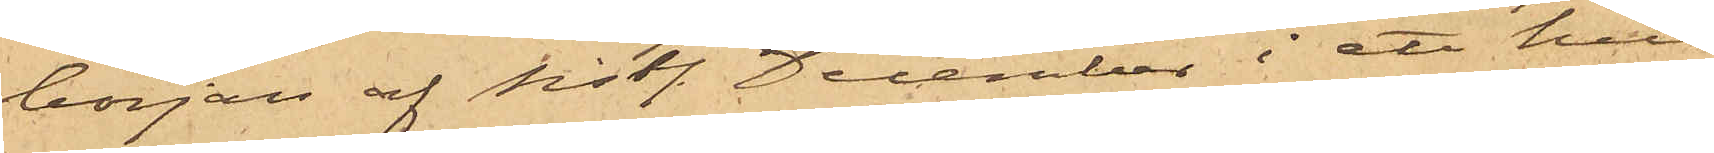början af sistl. December i ett hus
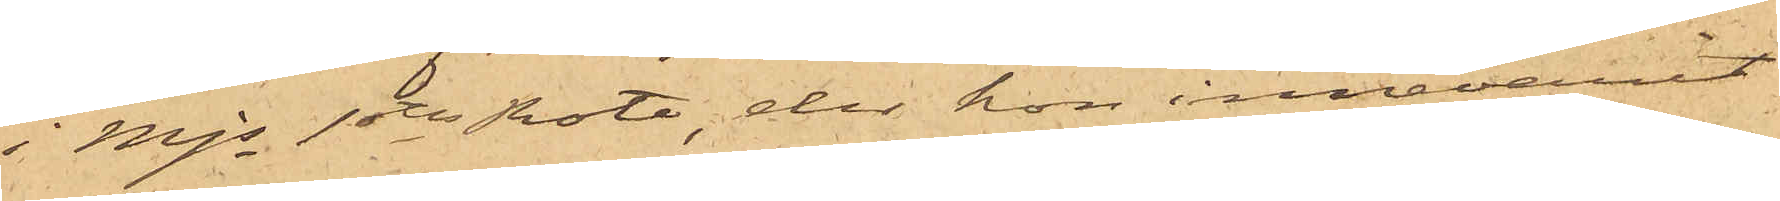i Mjs 1sta Rote, der hon innevarit
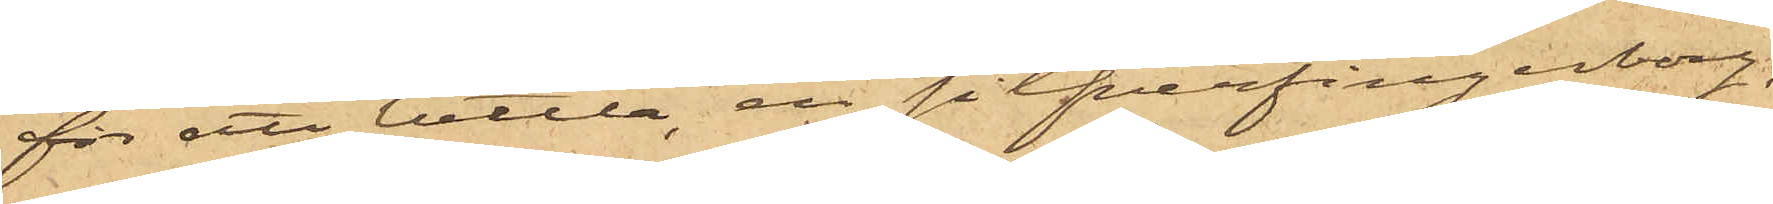för att bettla, en silfverfingerborg,
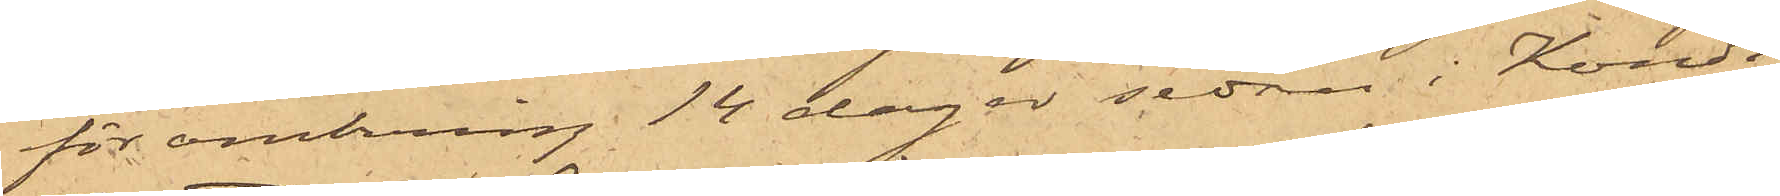för omkring 14 dagar sedan i Kondi¬
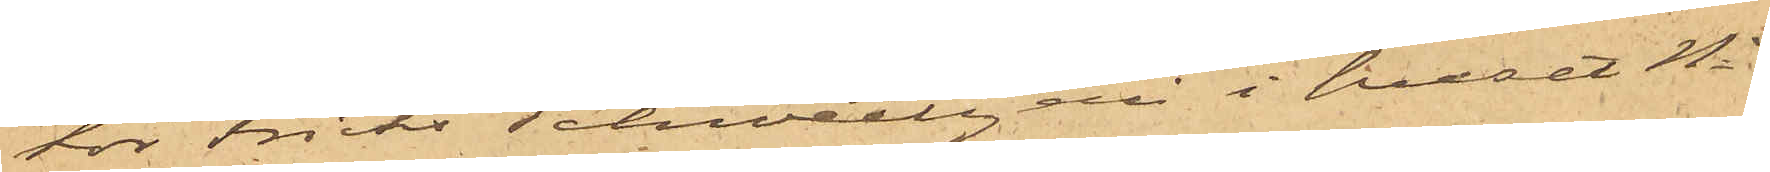tor Fricks Schweitzeri i huset No 1
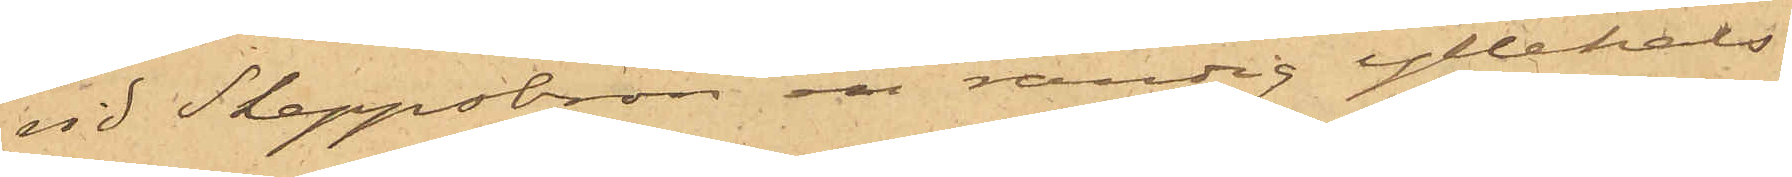vid Skeppsbron en randig yllehals¬
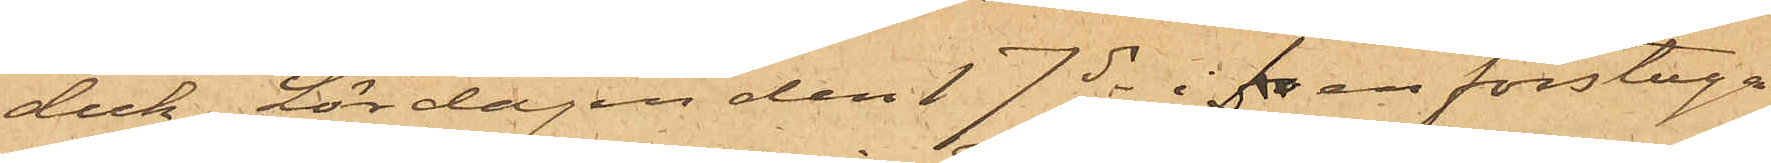duk, Lördagen den 17 ds i fr en förstuga
